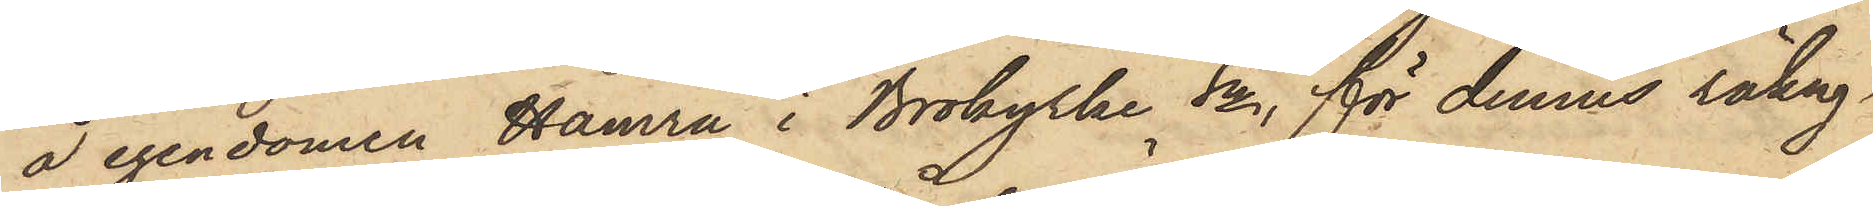å egendomen Hamra i Brokyrke Sn, för dennes räkng,
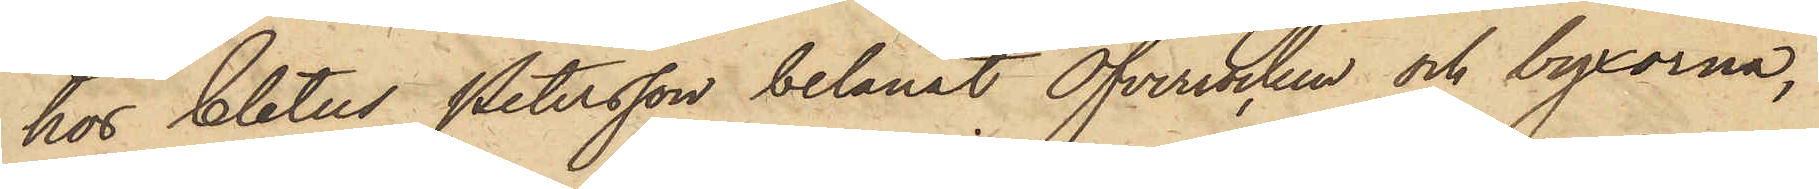hos Cletus Petersson belånat Öfverrocken och byxorna,
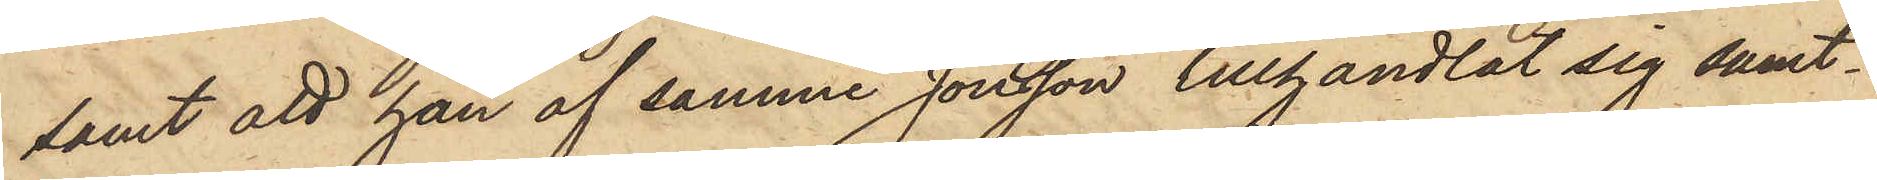samt att han af samme Jonsson tillhandlat sig samt¬
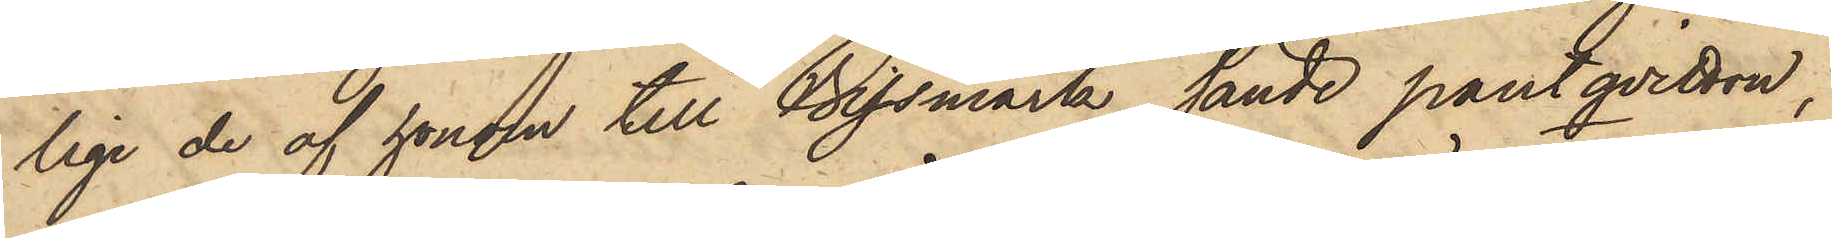lige de af honom till Bissmark sände pantqvitton,
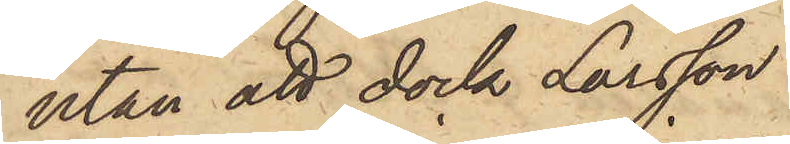utan att dock Larsson
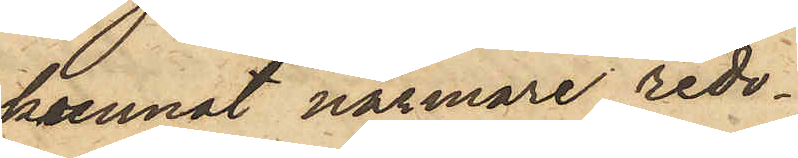kunnat närmare redo¬
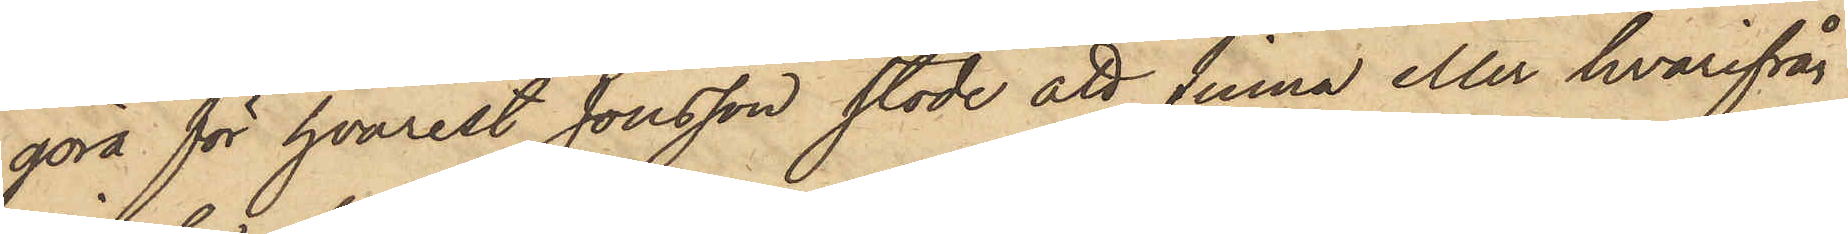göra för hvarest Jonsson stode att finna eller hvarifrån
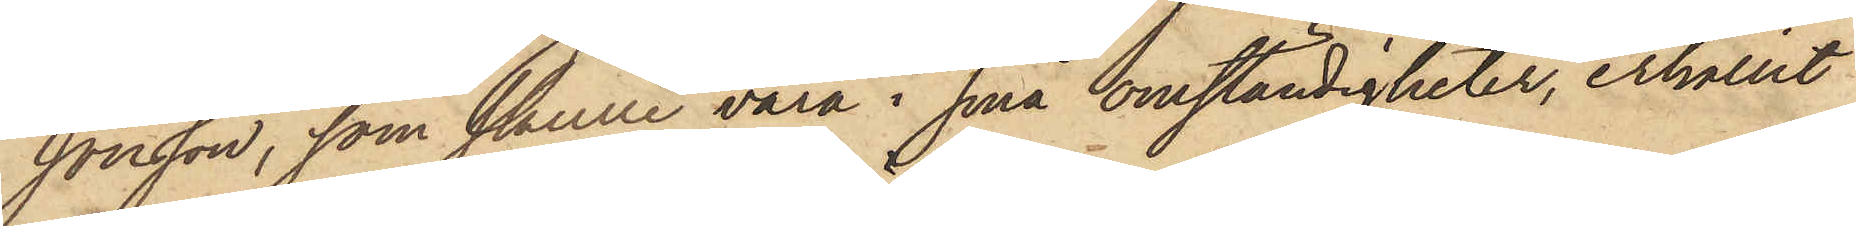Jonsson, som skulle vara i små omständigheter, erhållit
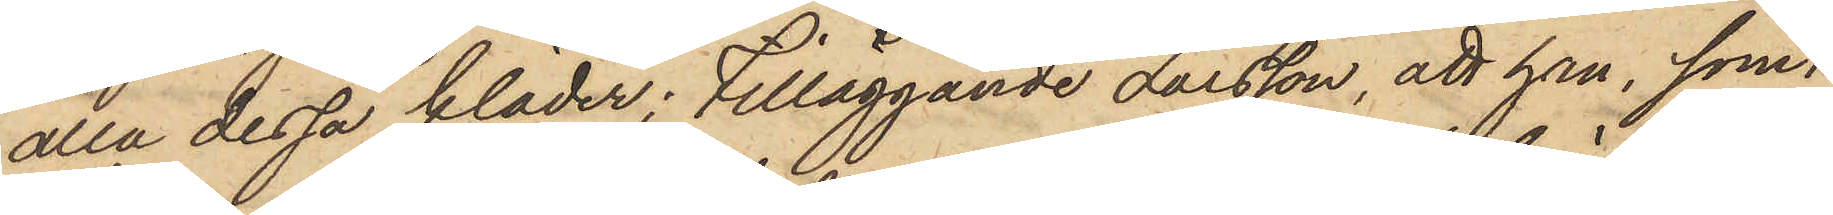alla dessa kläder; tilläggande Larsson, att han, som i
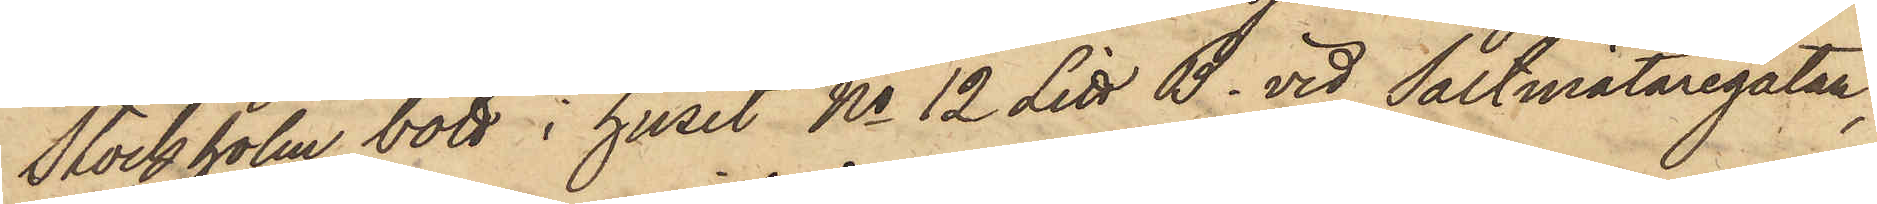Stockholm bott i huset No 12 Litt B. vid Saltmätaregatan,
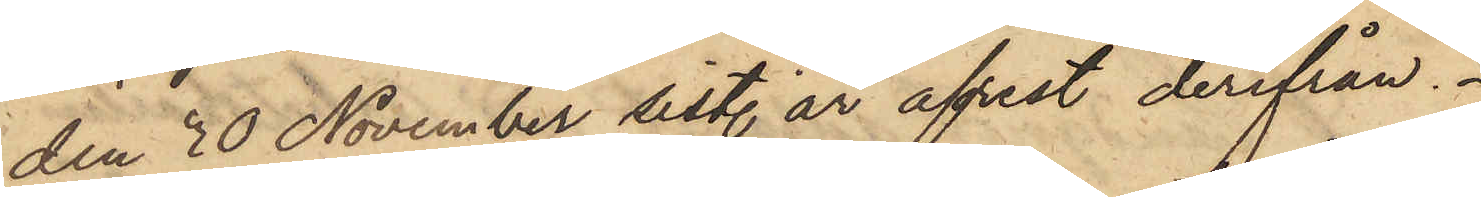den 30 November sist. år afrest derifrån.
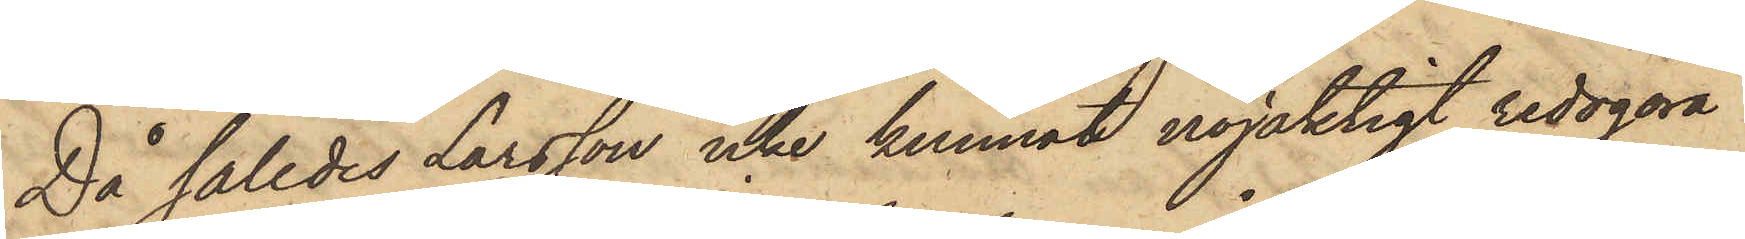Då således Larsson icke kunnat nöjaktigt redogöra
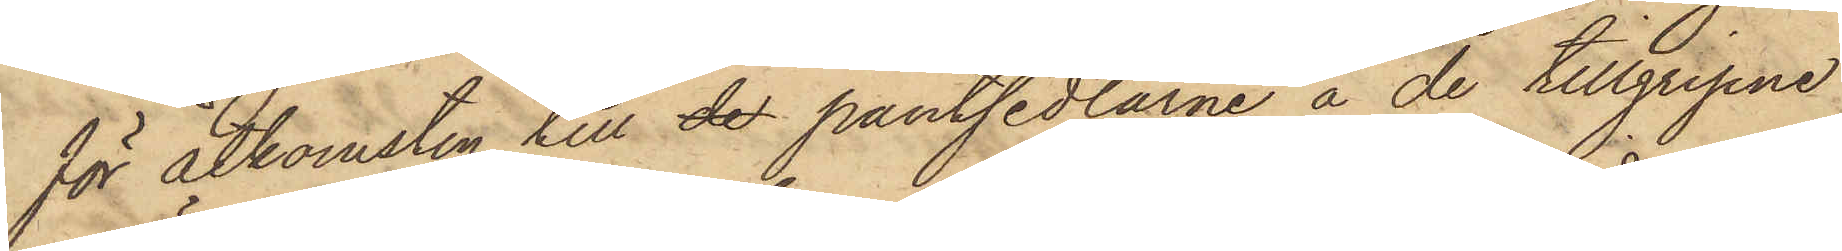för åtkomsten till de pantsedlarne å de tillgripne
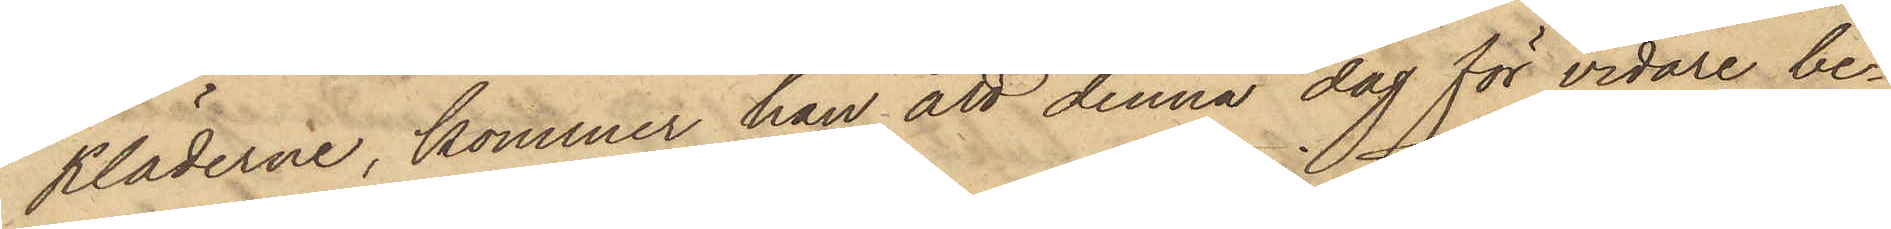Kläderne, kommer han att denna dag för vidare be¬
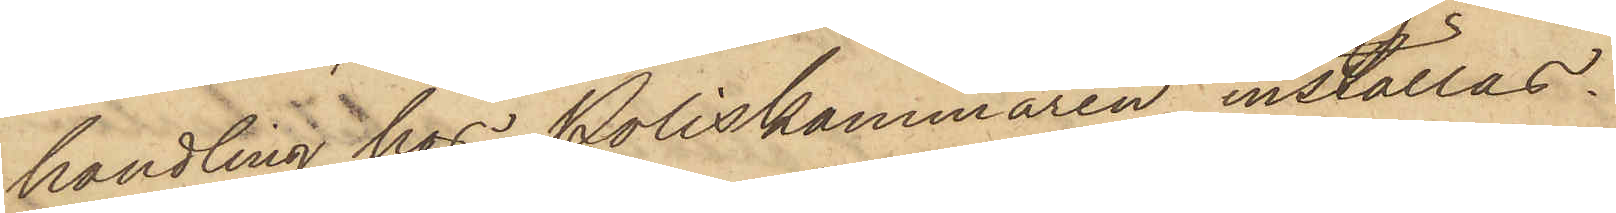handling hos Poliskammaren inställas.
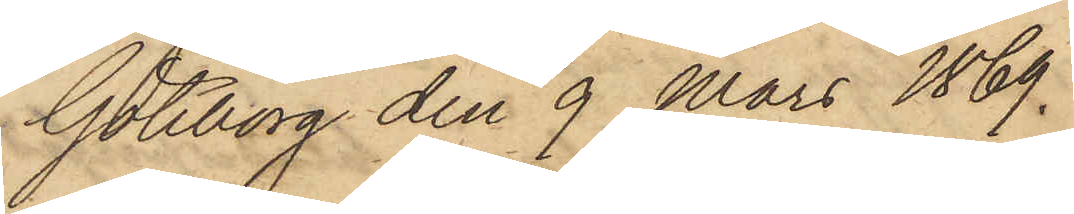Göteborg den 9 Mars 1869.
